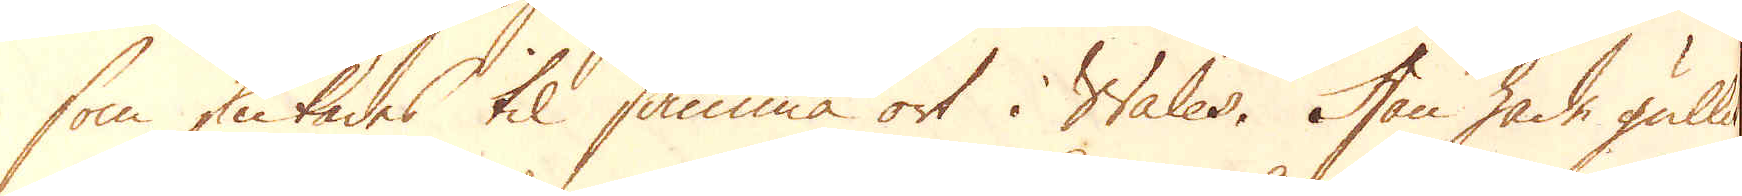som skickades til samma ort i Wales. Hon hade gällit
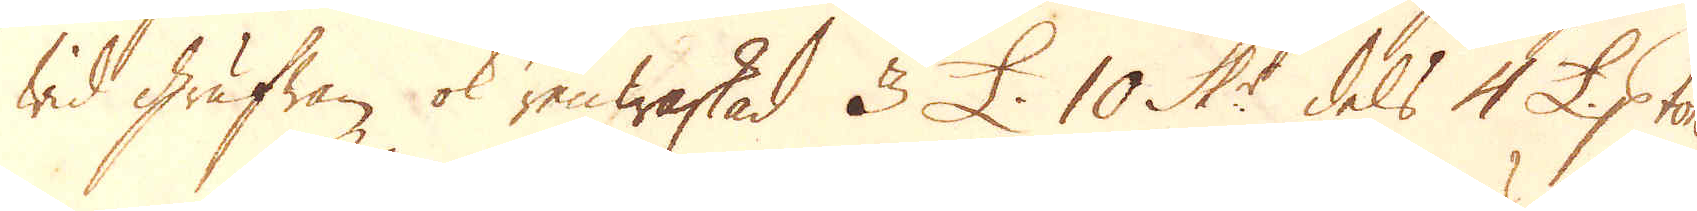wid Grufwan ok renwaskad 3 £. 10 Sk:r dels 4 £. p ton
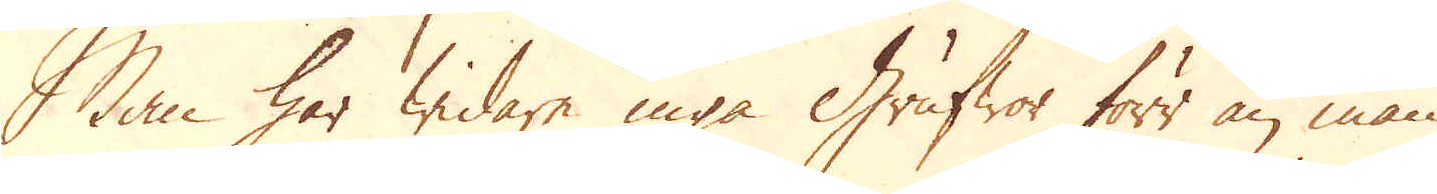Man har widare inga Grufwor förr än man
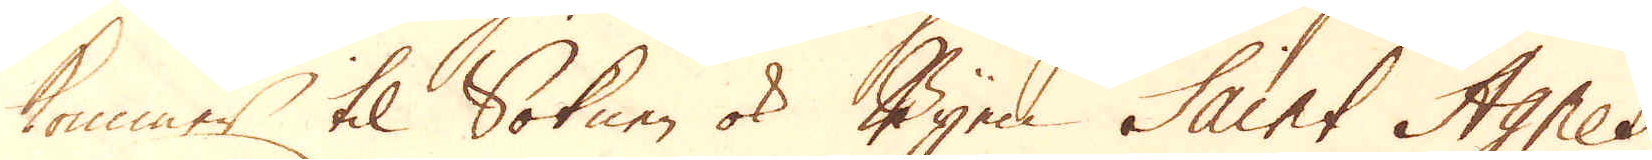kommer til Soknen ok Byen Saint Agnes
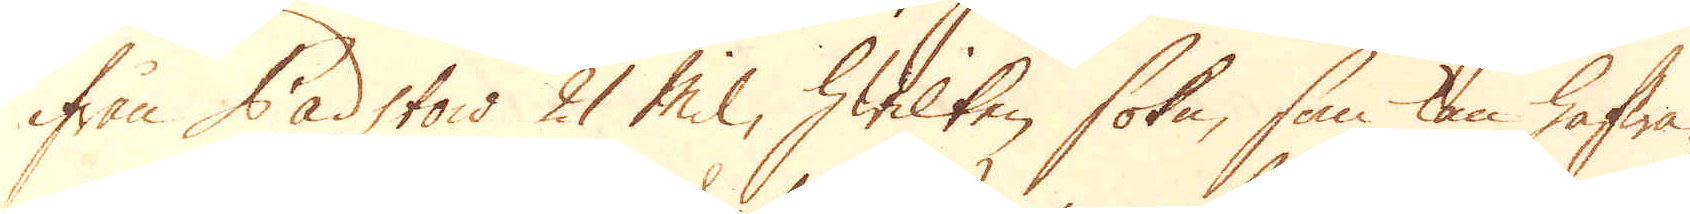ifrån Padstow 21 Mil, hwilken sokn, som kan hafwa
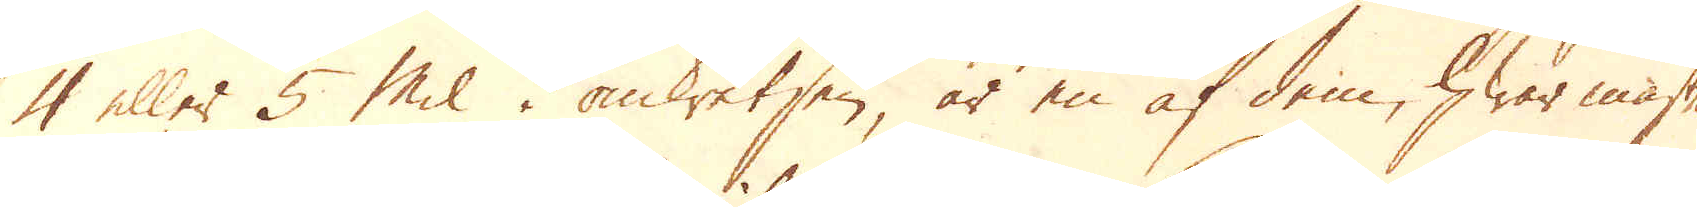4 eller 5 mil i omketsen, är en af dem, hwar mäste
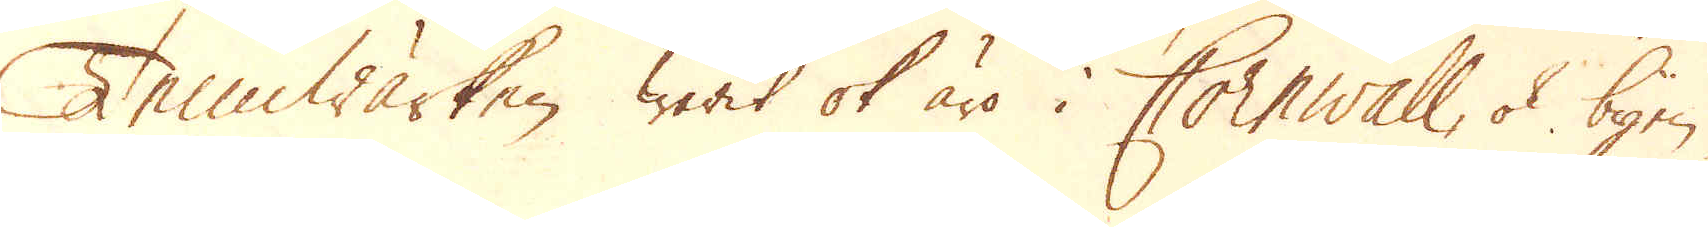Tennwärken warit ok äro i Cornwall, ok byen-
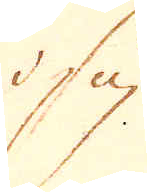i sig
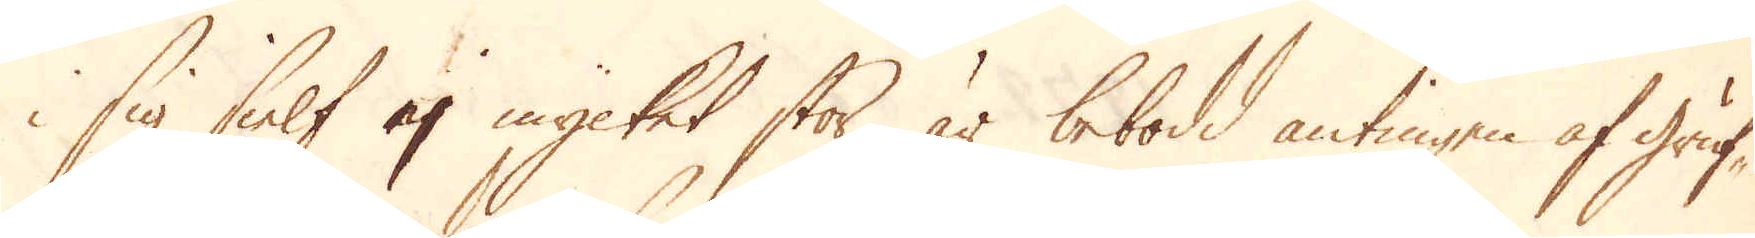i sig sielf ej mycket stor, är bebodd antingen af gruf-
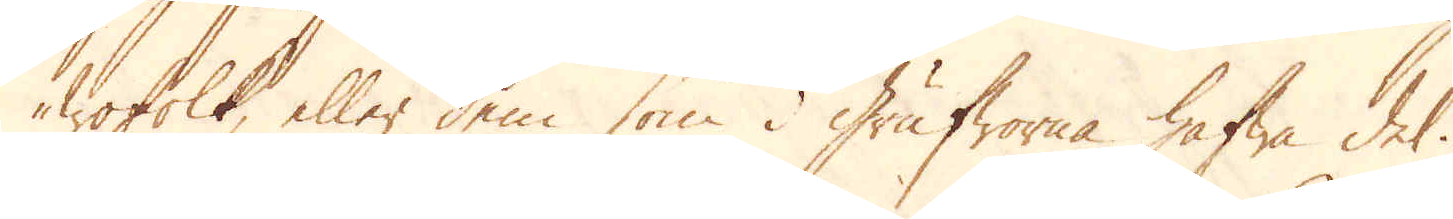wofolk, eller dem som i grufworna hafwa del.
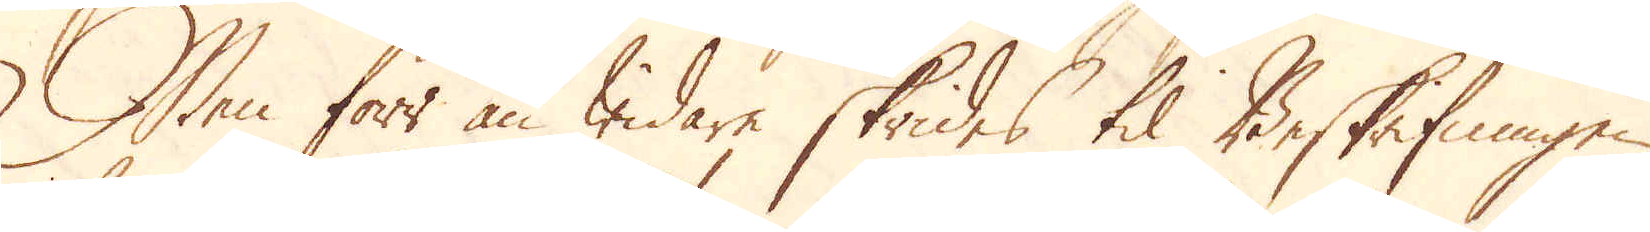Men förr än widare skrides til Beskrifningen
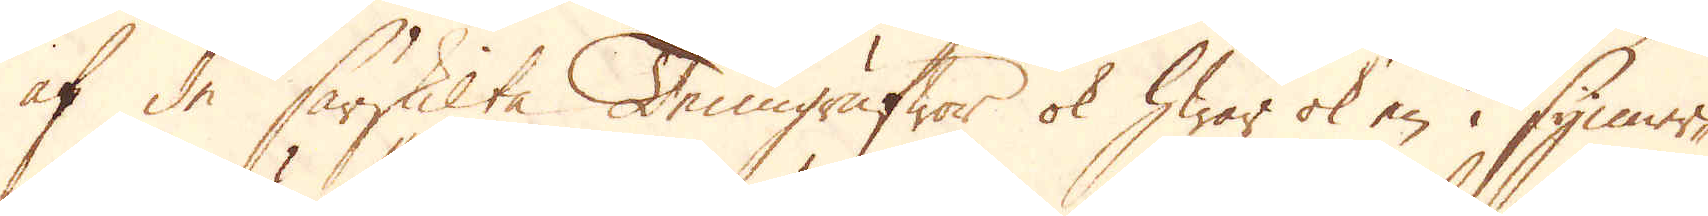af de särskilta Tenngrufwor ok hwar ok en i synner-
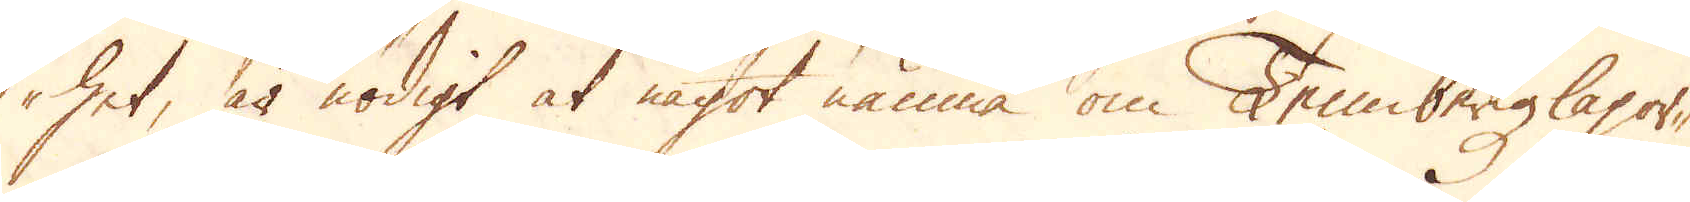het, är nödigt at något nämna om Tennbergzlagor-
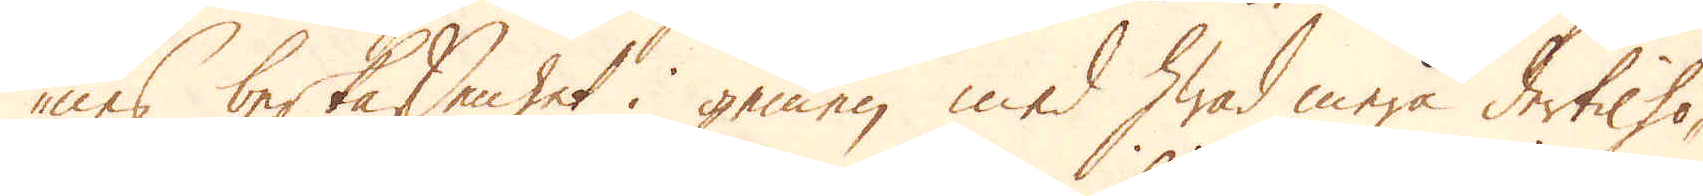nes beskaffenhet i gemen med hwad mera dertil hö-
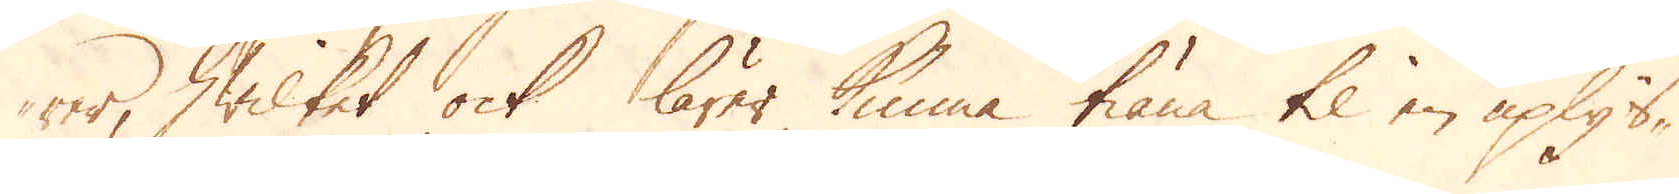rer, hwilket ock lärer kunna tiäna til en uplys-
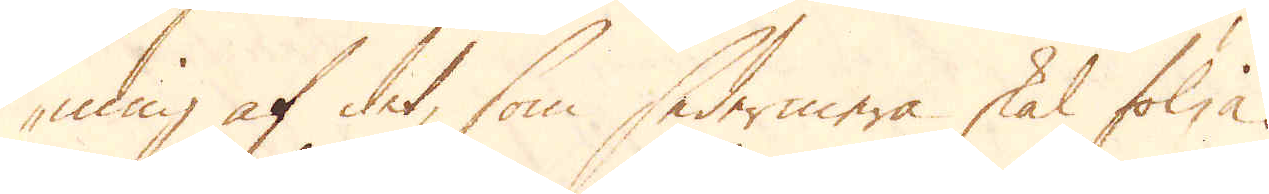ning af det, som sedermera skal följa.
